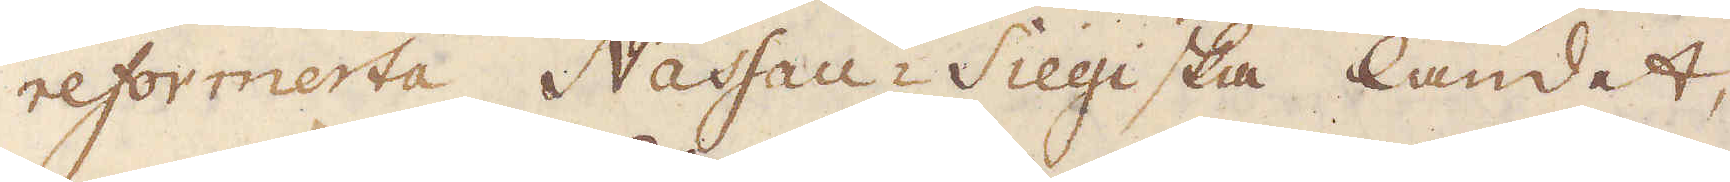reformerta Nassau-Siegiska landet,
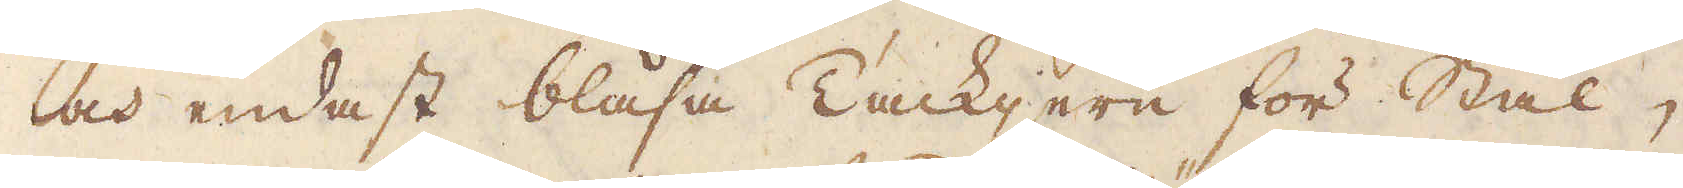och endast blåsa Tackjern för Stål,
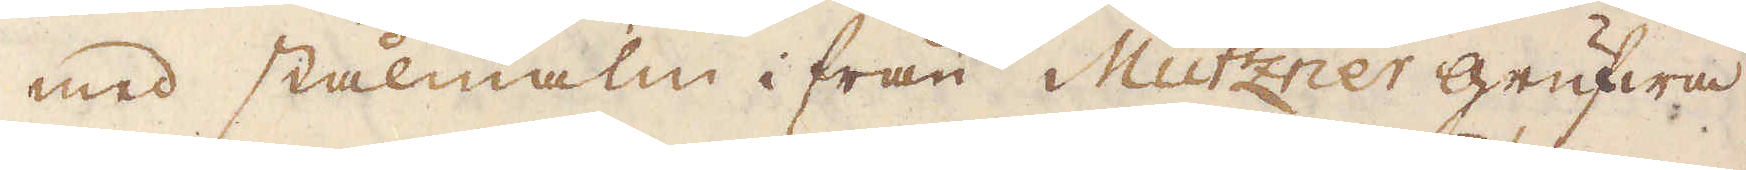med stalmalm ifrån Mützner grufwa
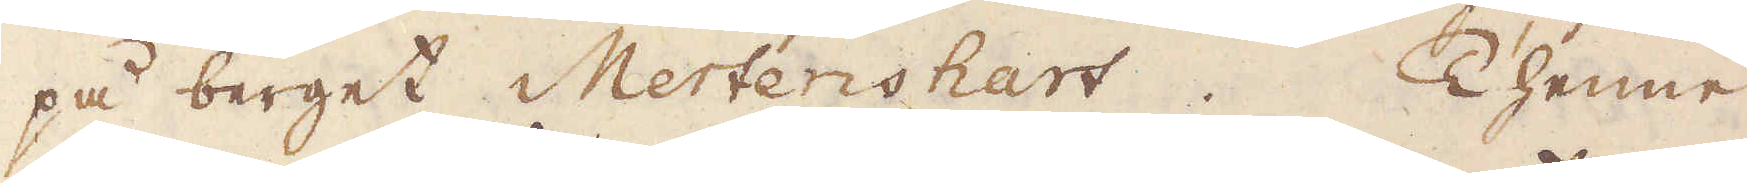på berget Mertenshart. Thenne
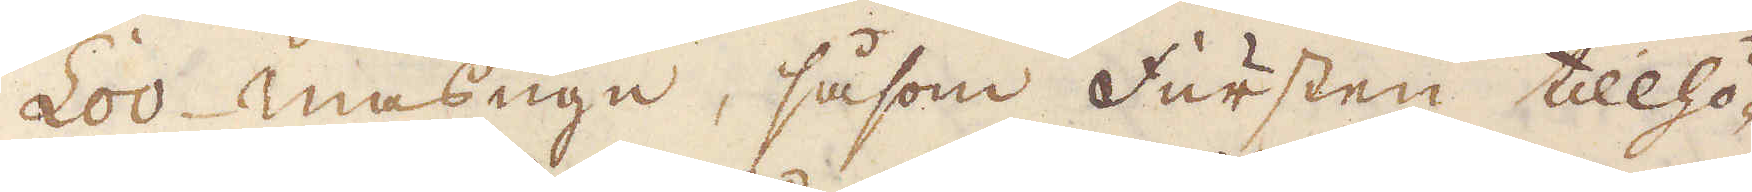Loo masugn, såsom Fursten tillhö-
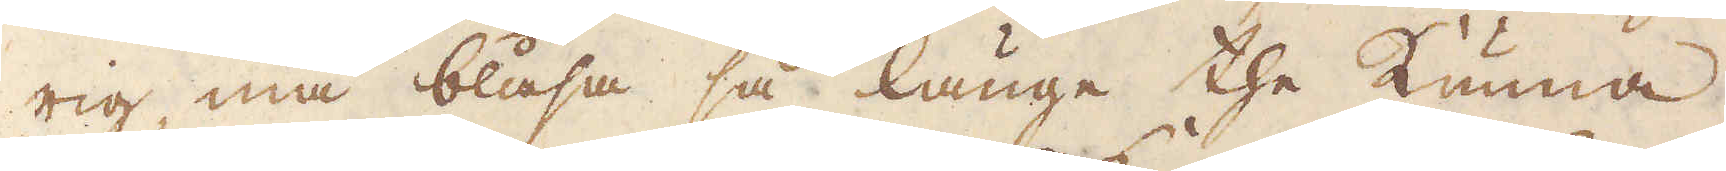rig, må blåsa så länge the kunna,
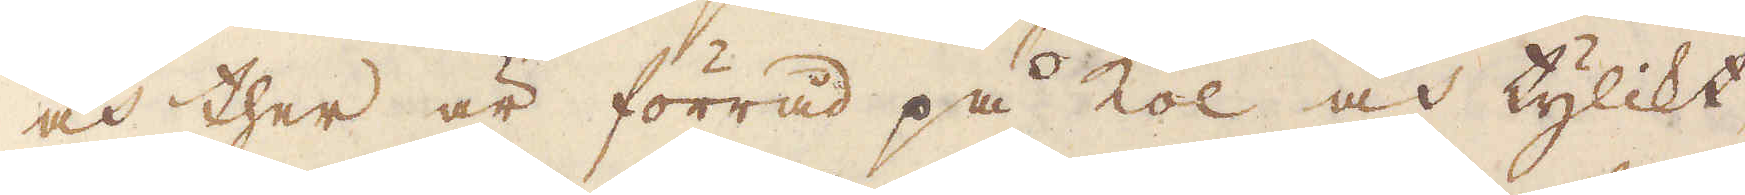och ther är förråd på kol och tylikt,
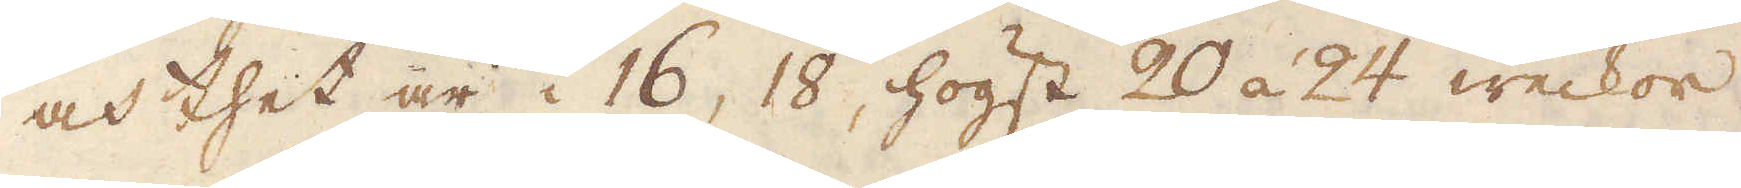och thet är i 16, 18, högst 20 á 24 weckor
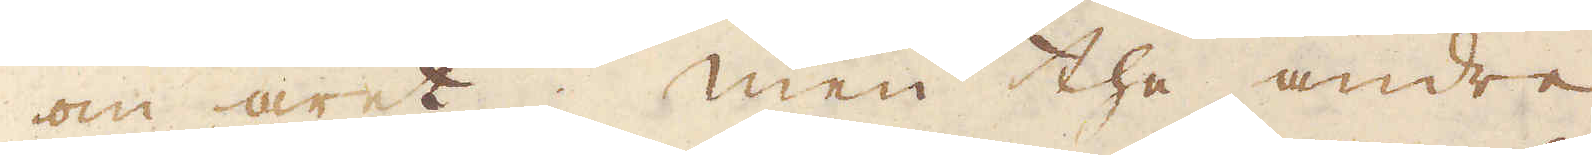om året; men the andre
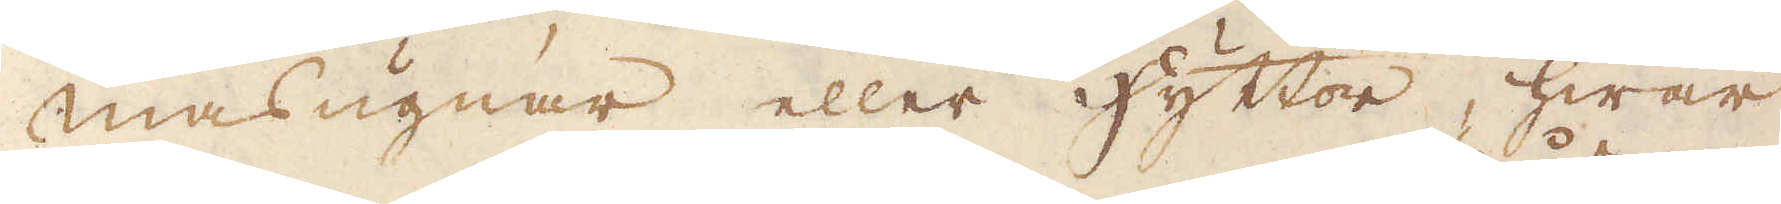masugnar eller hyttor, hwar
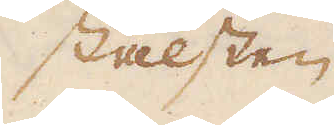stålsten
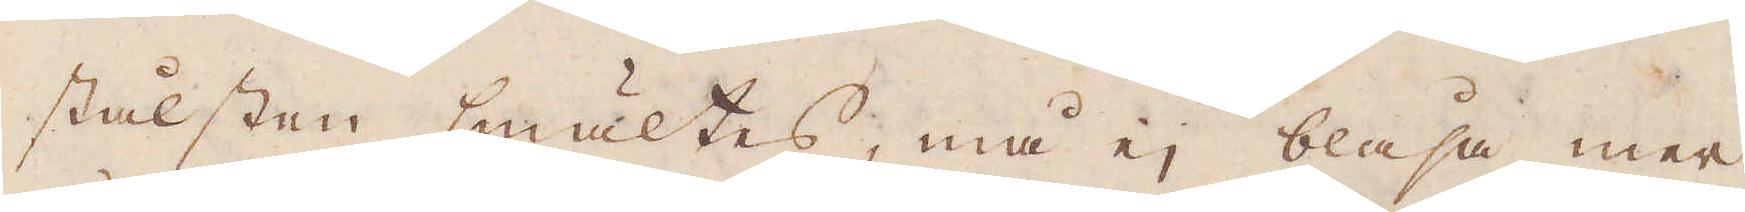stålsten smältes, må ej blåsa mer
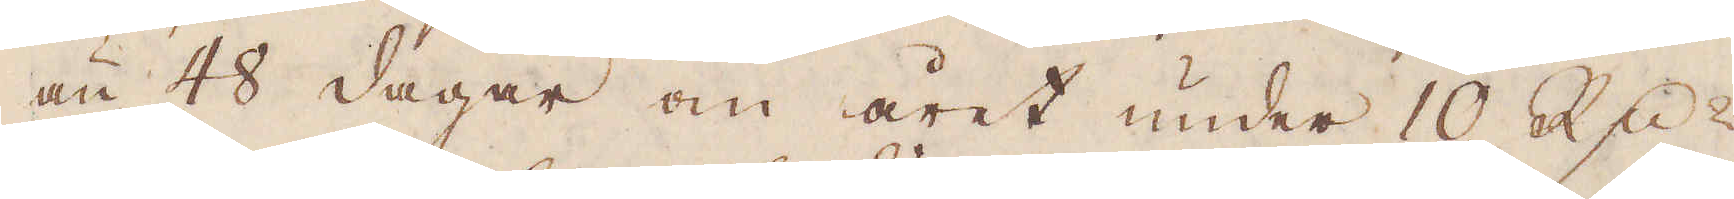än 48 dagar om året under 10 R:dr
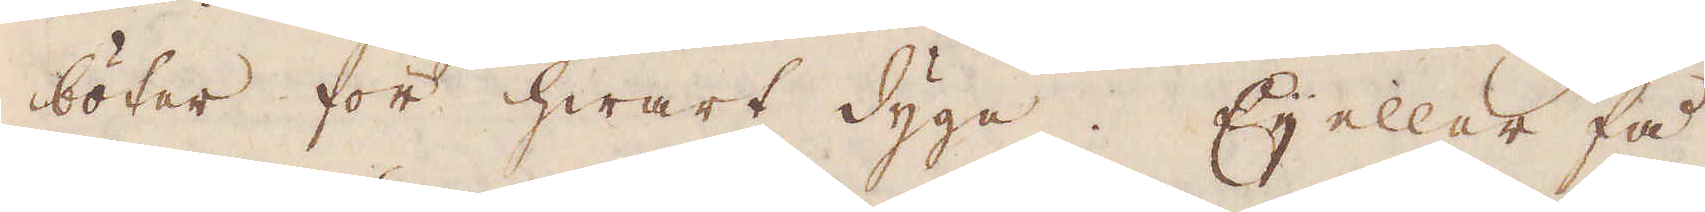böter för hwart dygn. Ej eller få
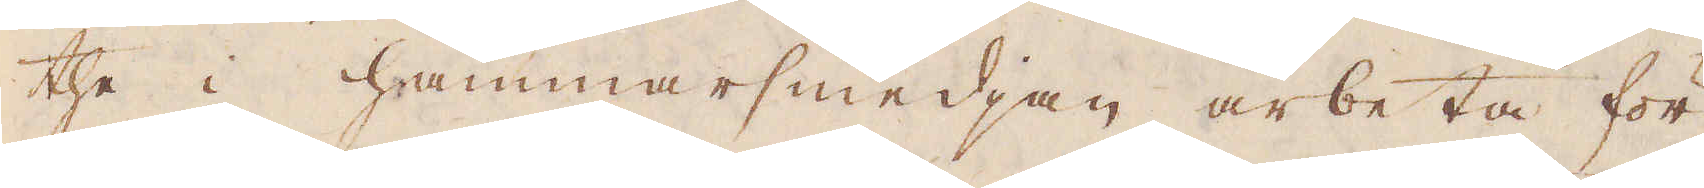the i hammarsmedjan arbeta för
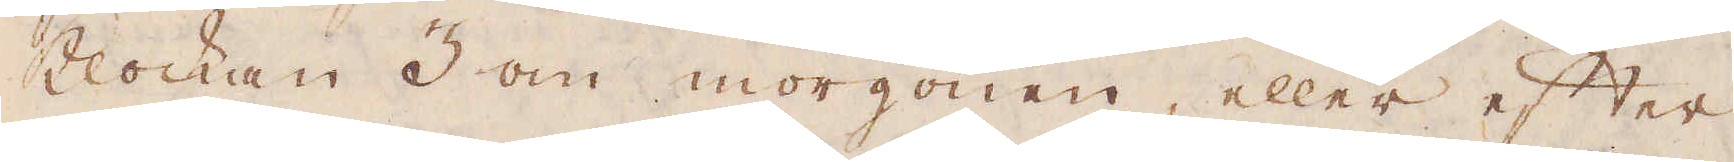Klockan 3 om morgonen, eller efter
